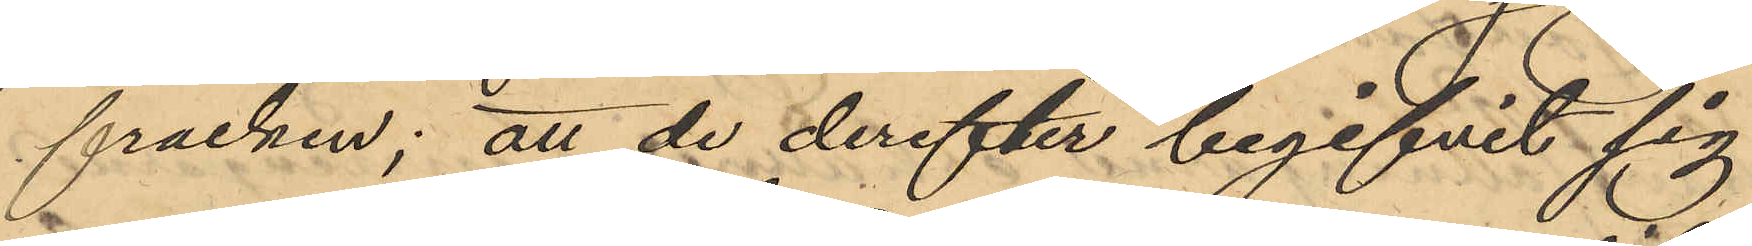fracken; att de derefter begifvit sig
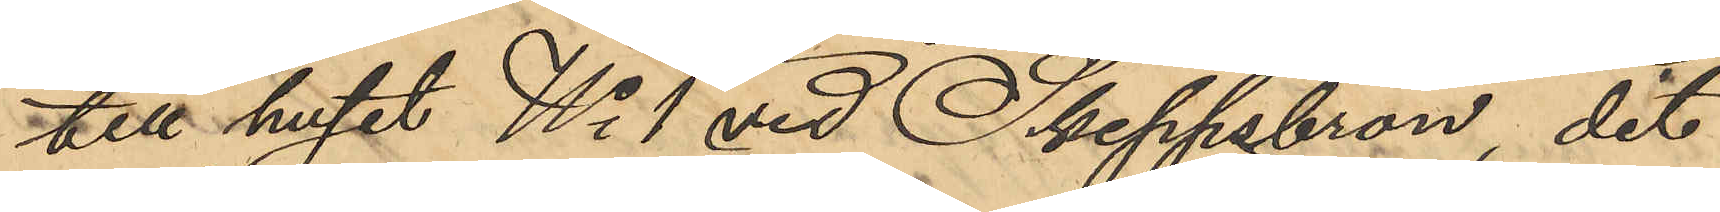till huset No 1 vid Skeppsbron, dit
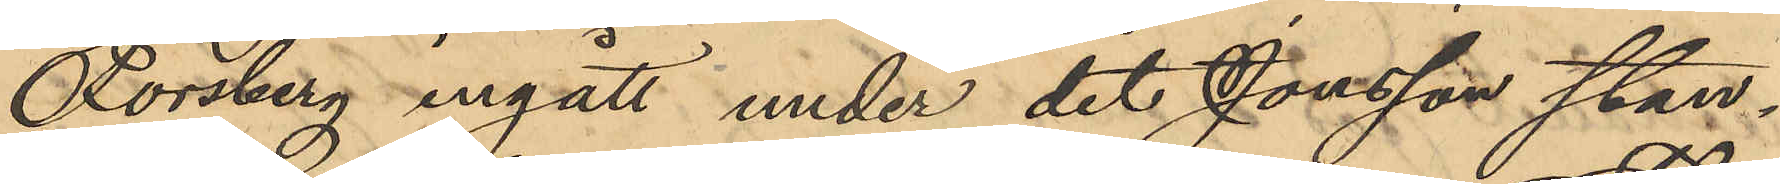Forsberg ingått under det Jonsson stan¬
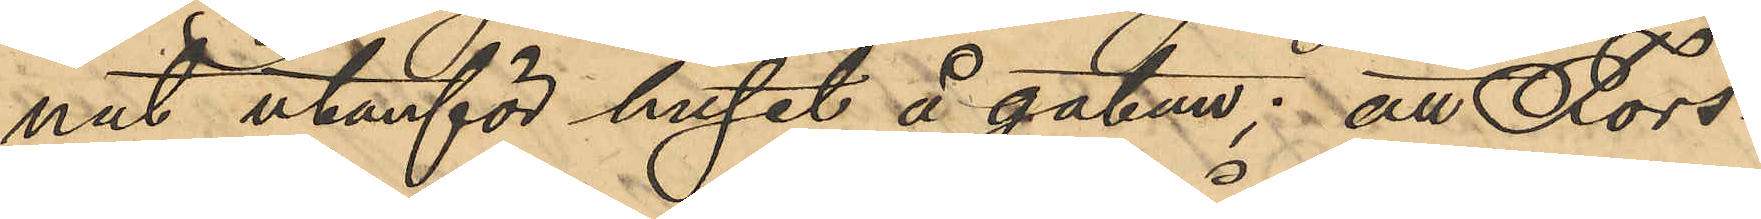nat utanför huset å gatan; att Fors¬
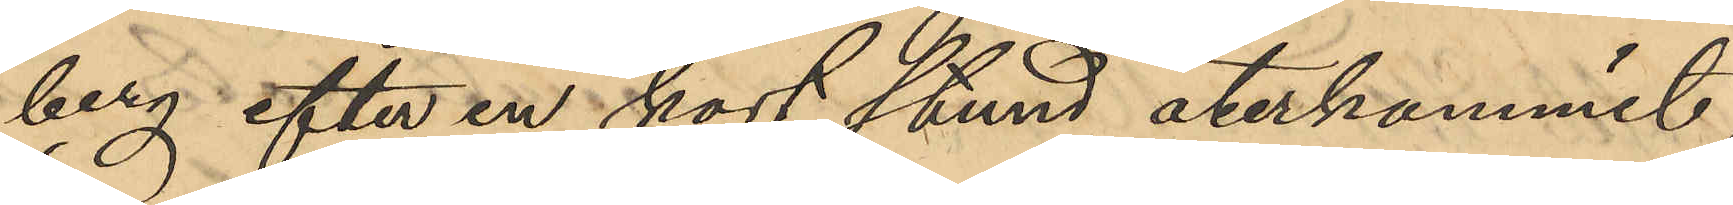berg efter en kort stund återkommit
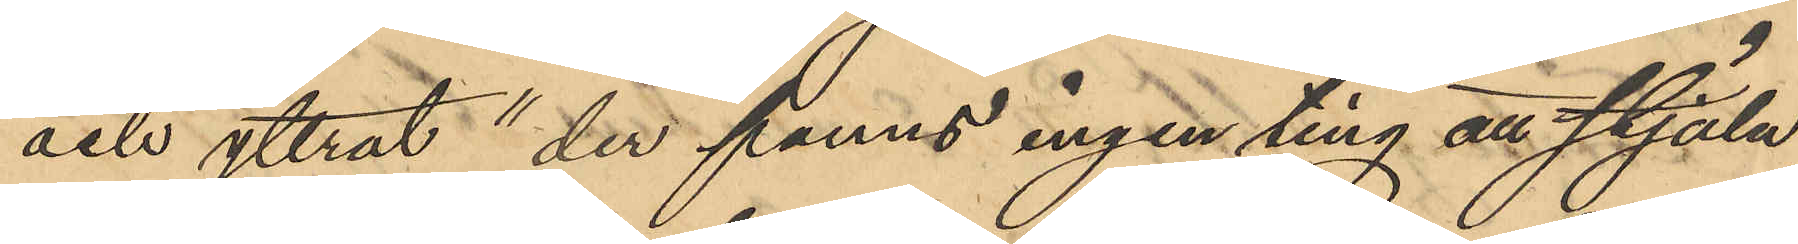och yttrat "der fanns ingenting att stjäla",
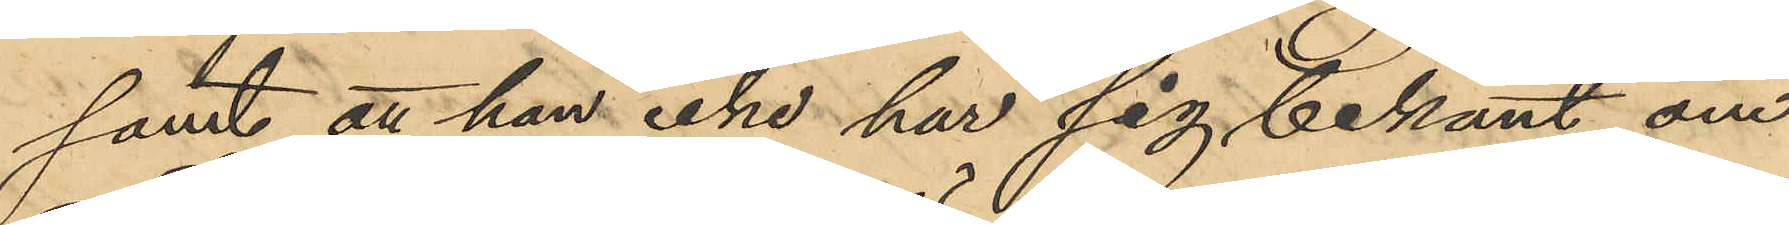samt att han icke har sig bekant om
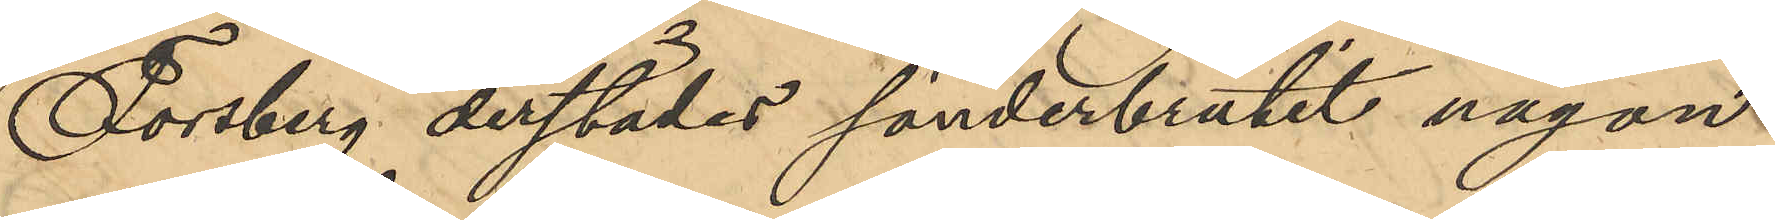Forsberg derstädes sönderbrutit någon
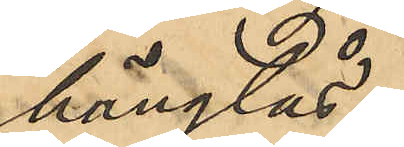hänglås;
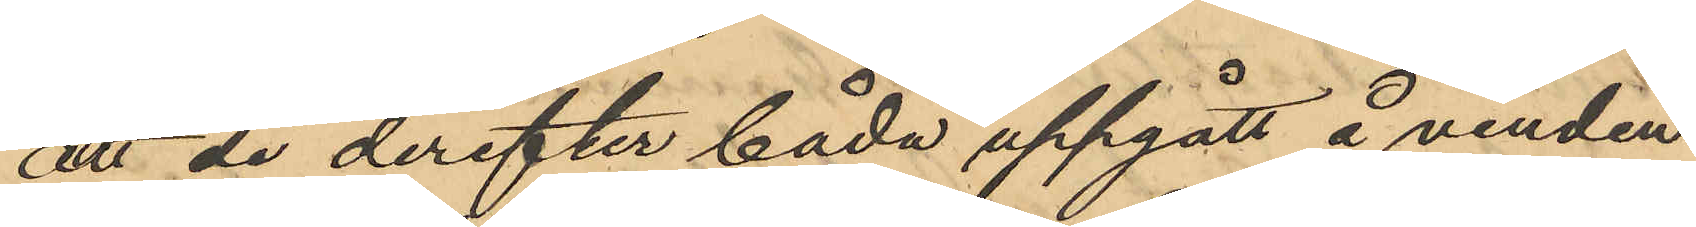att de derefter båda uppgått å vinden
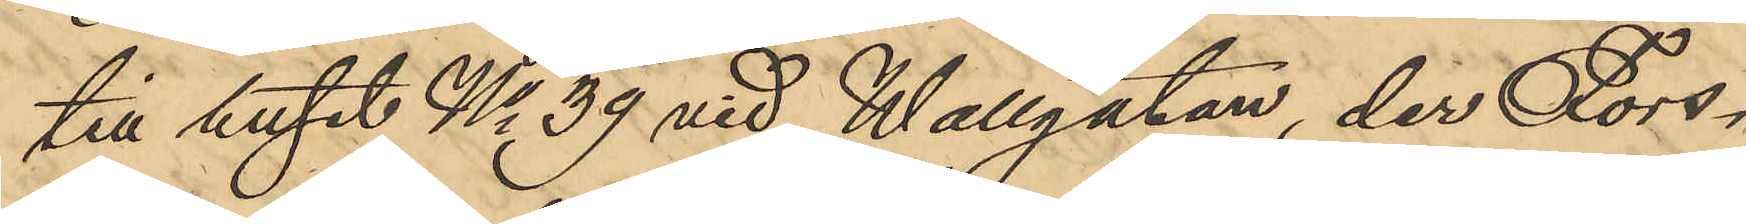till huset No 39 vid Wallgatan, der Fors¬
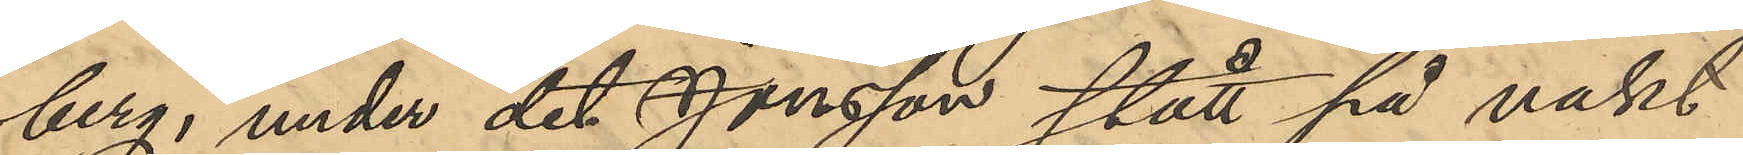berg, under det Jonsson stått på vakt
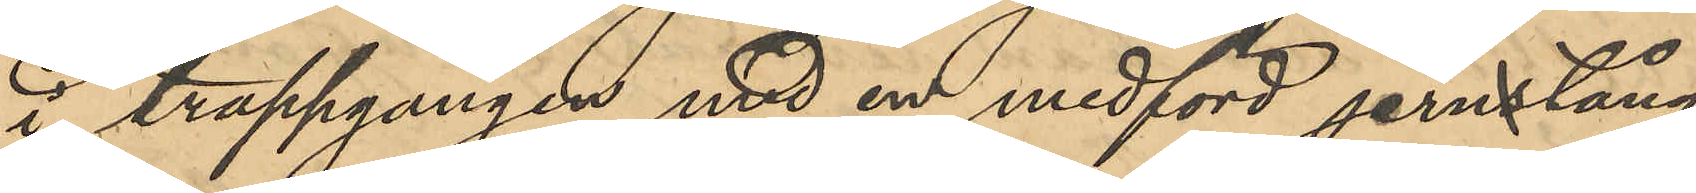i trappgången med en medförd jernstång
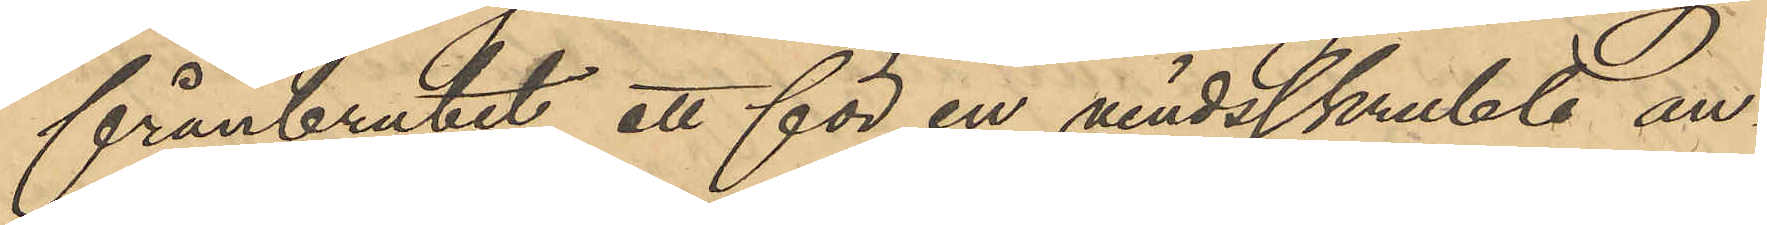frånbrutit ett för en vindsskrubb an¬
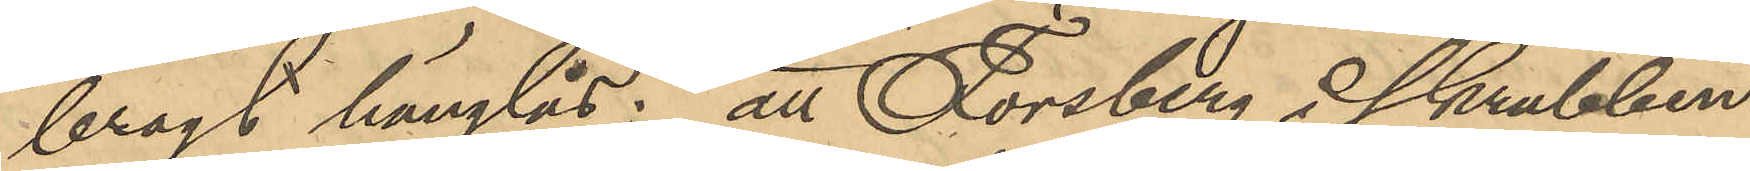bragt hänglås; att Forsberg å skrubben
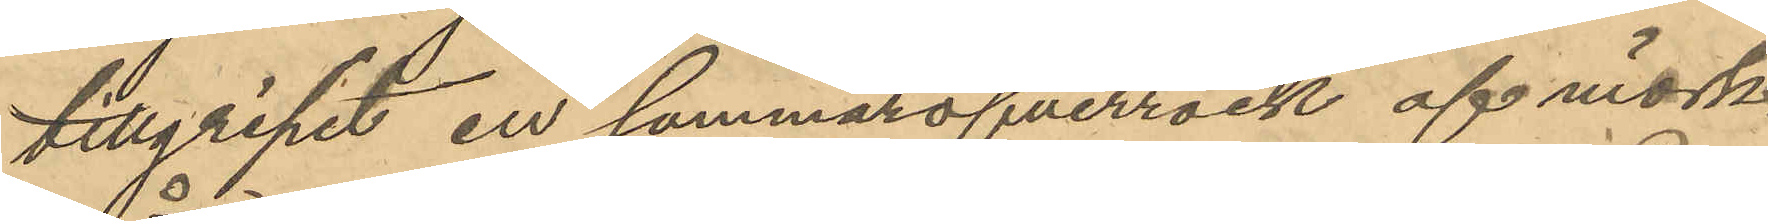tillgripit en sommaröfverrock af mörk-
